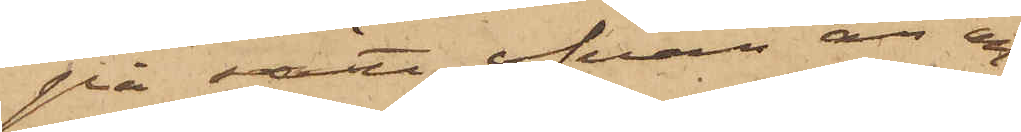på sätt ofvan är an¬
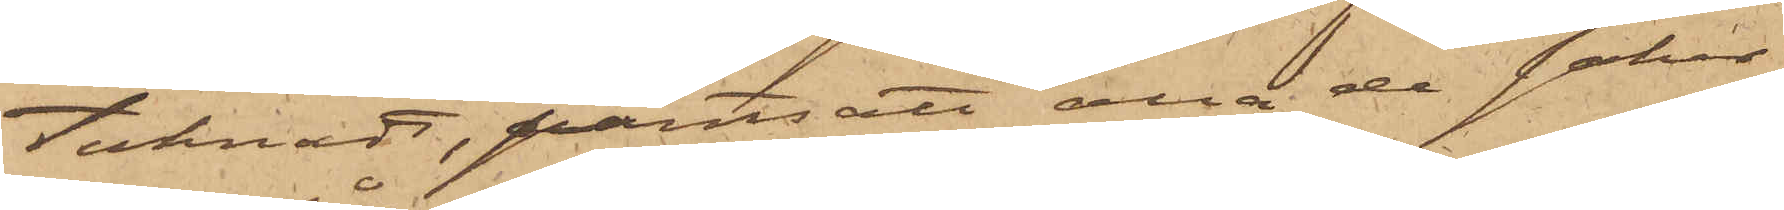tecknadt, pantsatt alla de saker
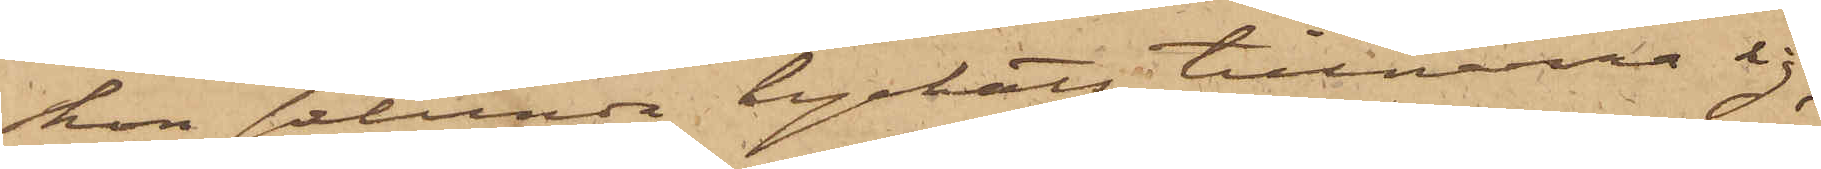hon sålunda lyckats tillnarra sig;
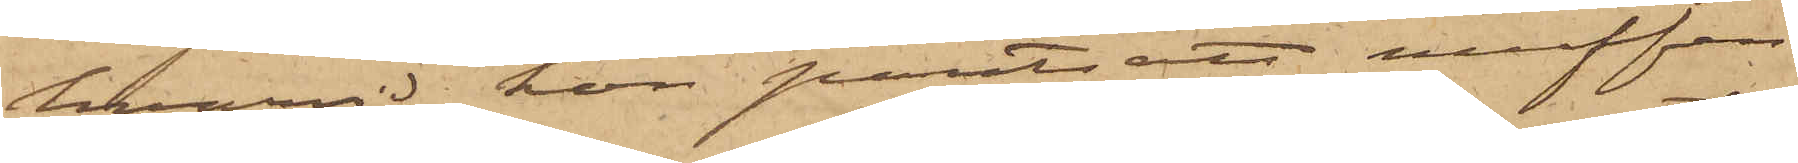hvarvid hon pantsatt muffen
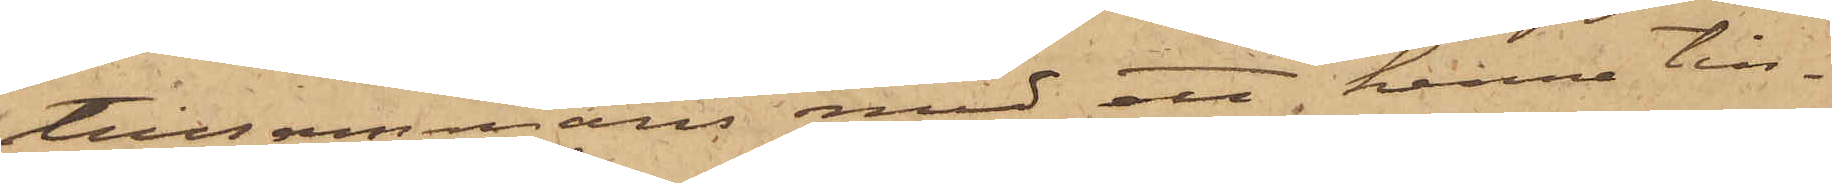tillsammans med ett henne till¬
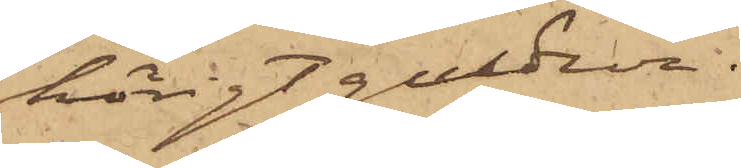hörigt guldur.
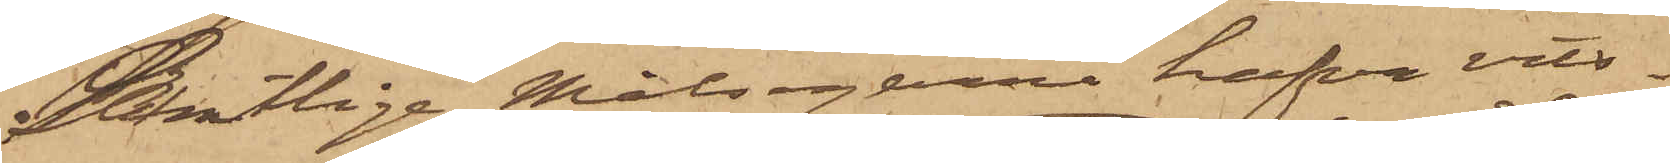Samtlige Målsegarne hafva vits¬
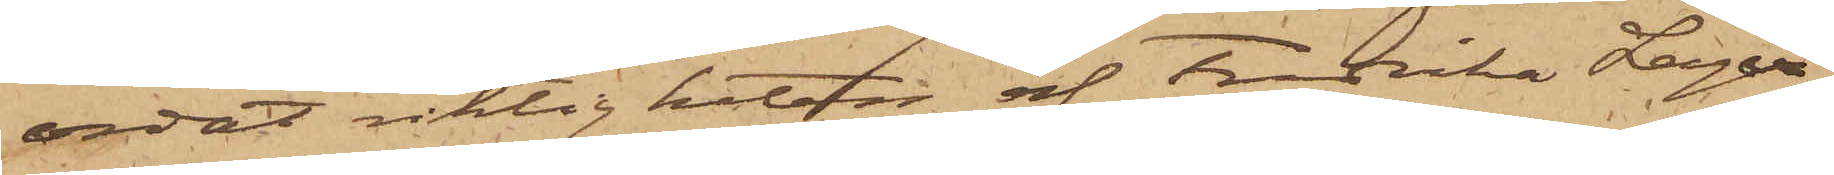ordat riktigheten af Fredrika Lager¬
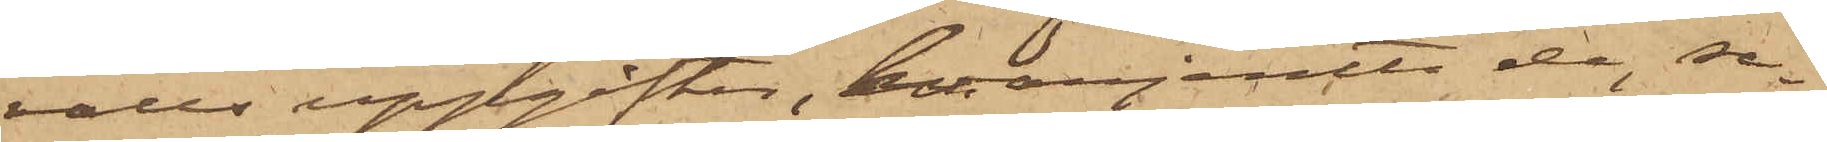valls uppgifter, hvarjemte de, se¬
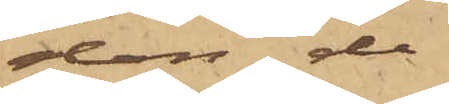dan de
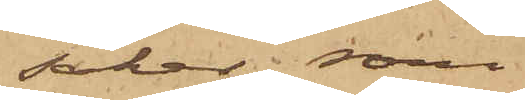saker, som
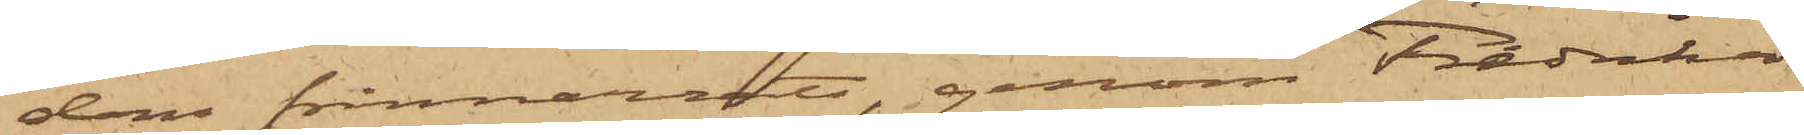dem frånnarrats, genom Fredrika
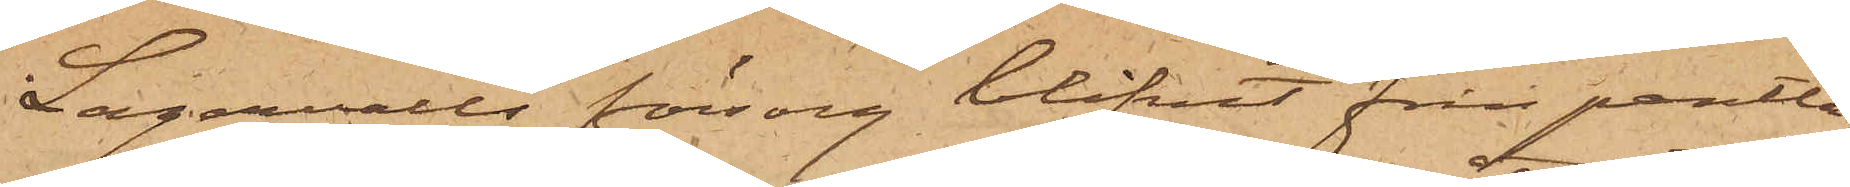Lagervalls försorg blifvit från pantlå¬
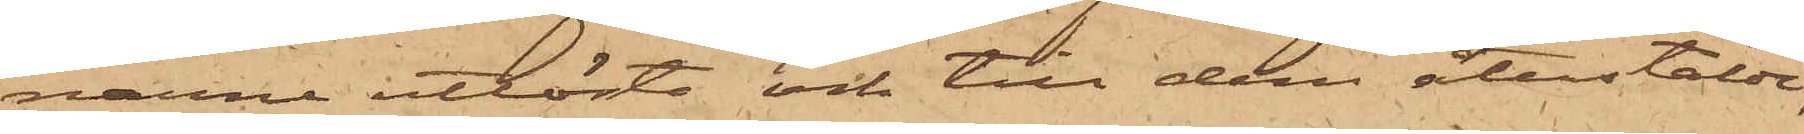narne utlösta och till dem återstälde,
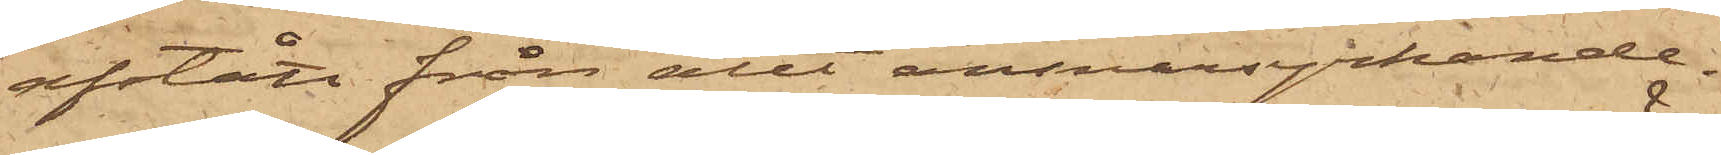afstått från allt ansvarsyrkande.
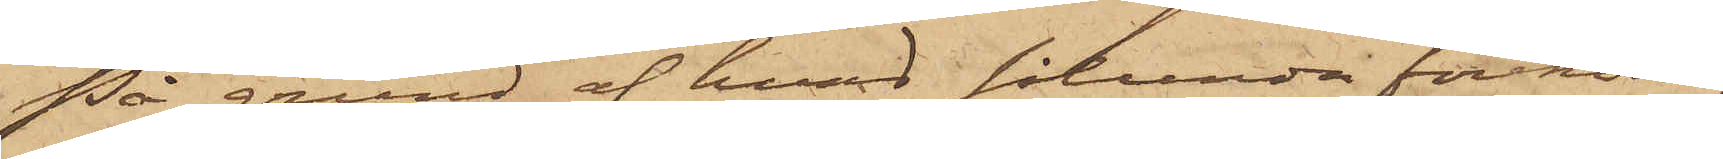På grund af hvad sålunda förekom¬
